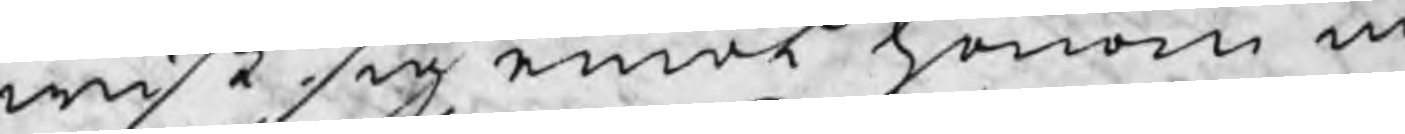wist sig emot honom m
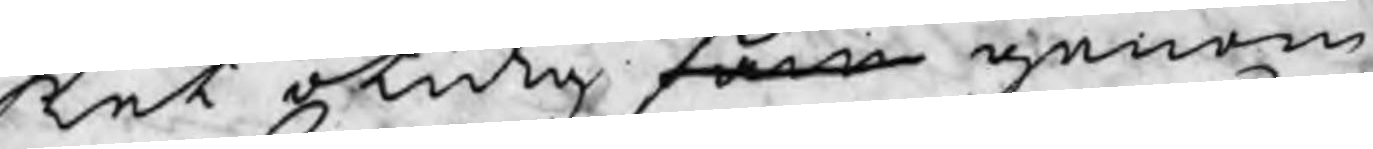ket otidig sam genom
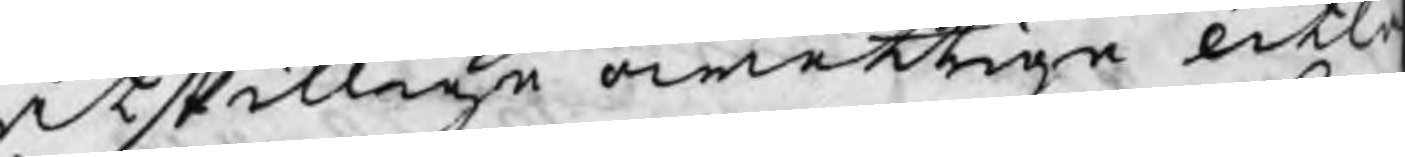åtskillige owettige utl
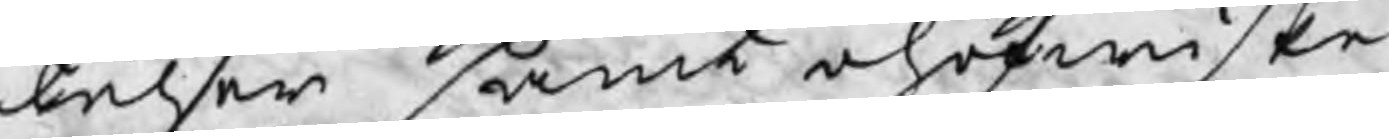telser samt ohöfwiske
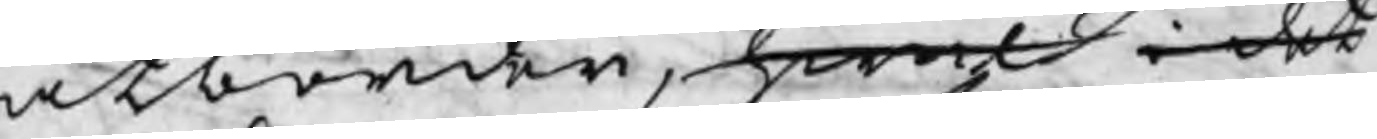åtbörder, hwil i det
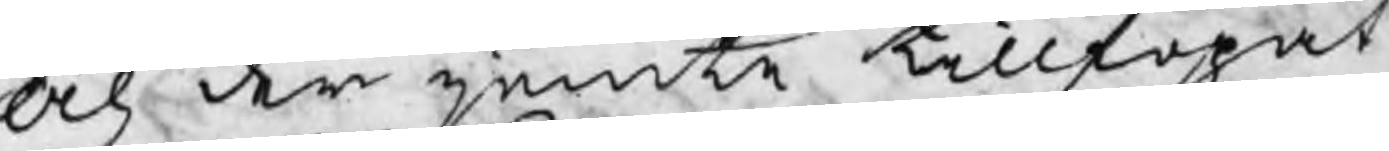och der jemte tillfogat
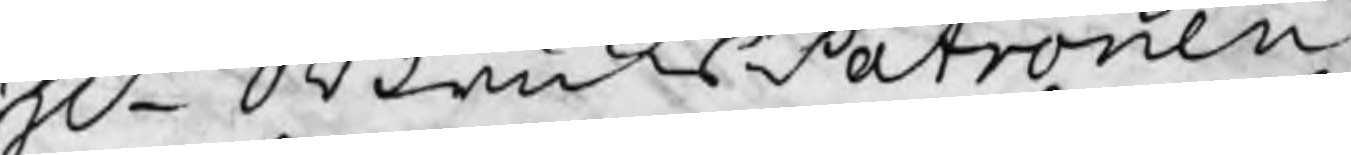Hr BruksPatronen
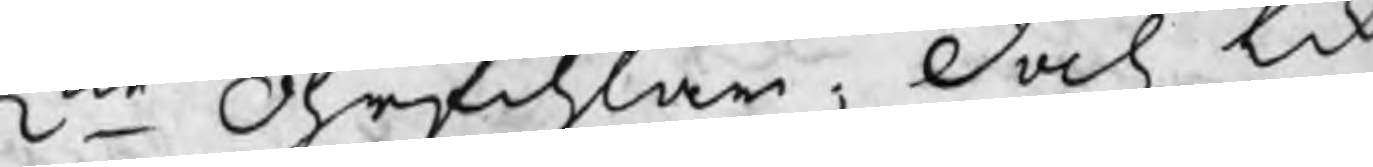2ne Öhrfihlar, doch lik
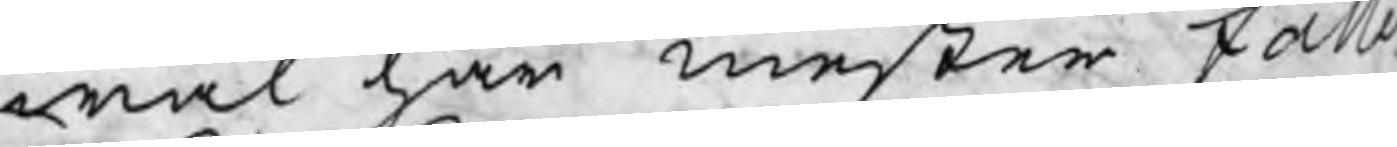wäl har mester fall
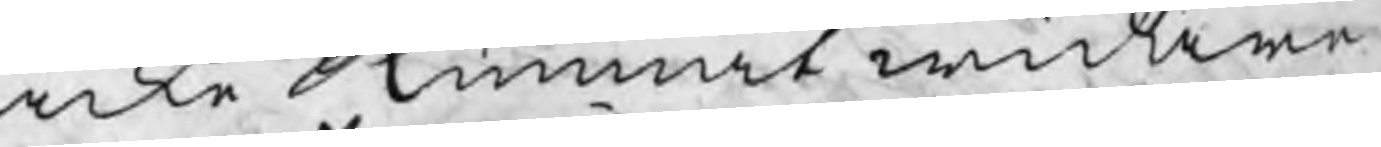icke kunnat widare
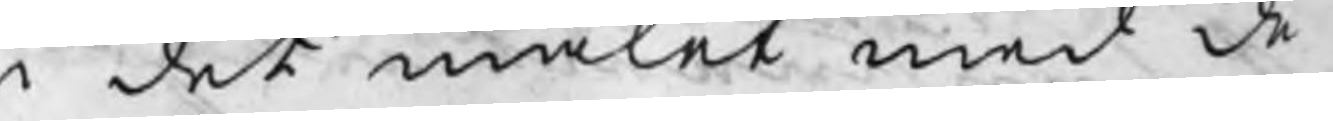i det målet med de
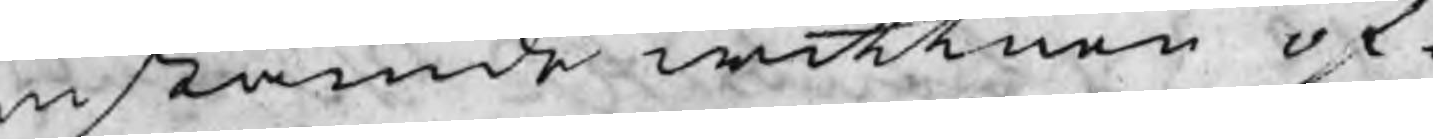instämde wittnen öf¬
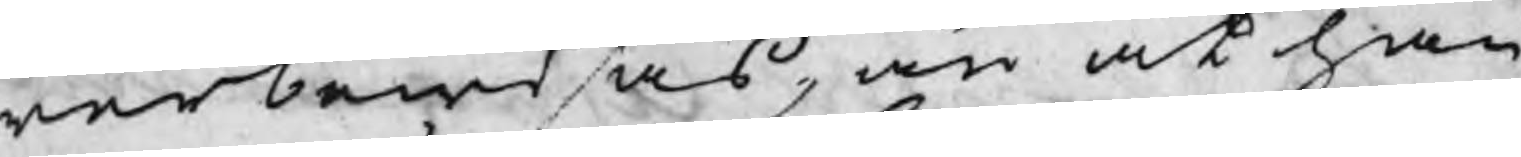werbewisas, än at han
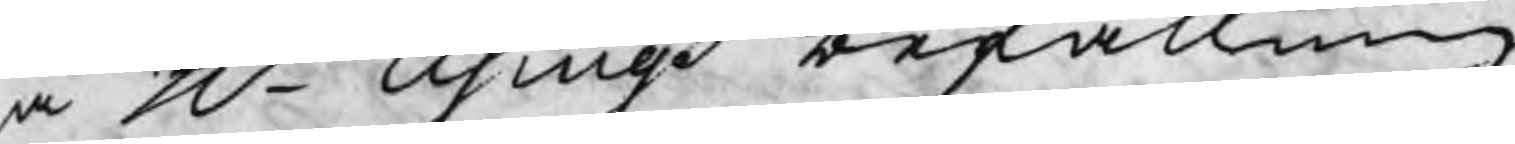å H Usings befallning
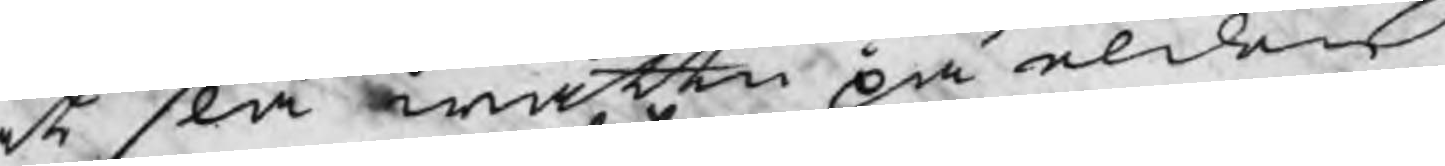at slå wattn på elden
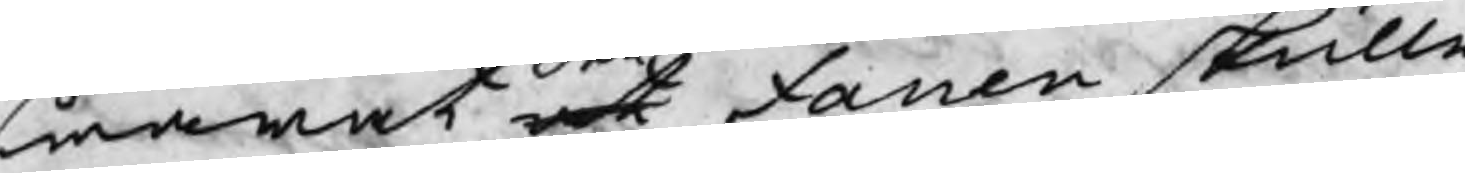swarat at fanen skulle
